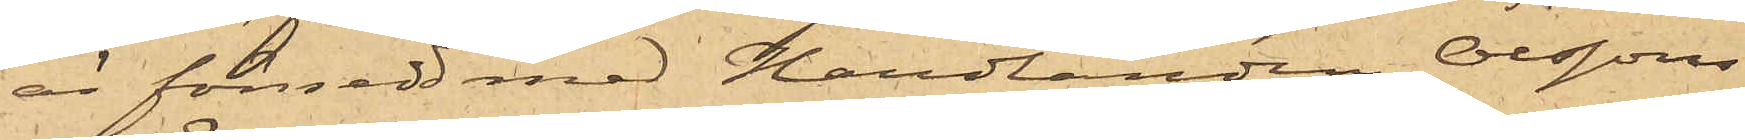är försedd med Handlanden Olssons
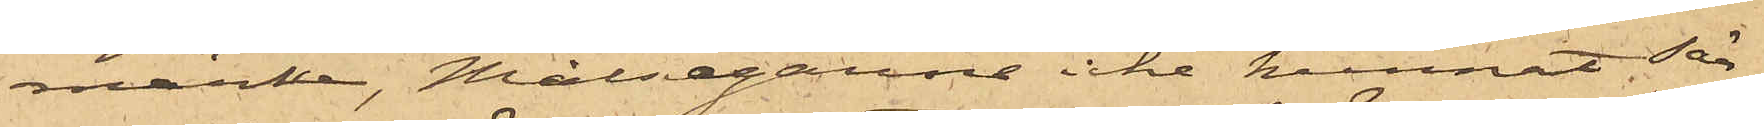märke, Målsegarne icke kunnat sär¬
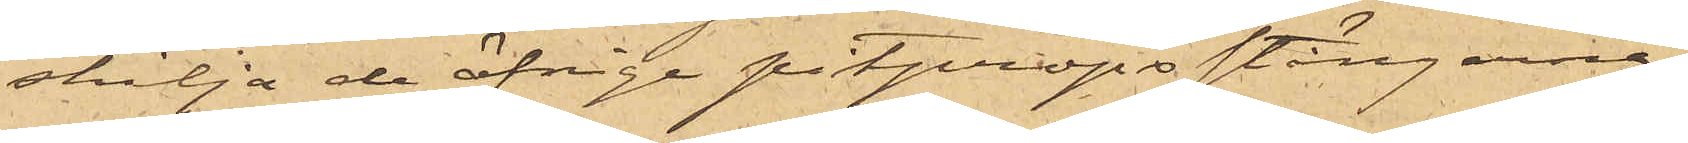skilja de öfrige pitpropsstängarne,
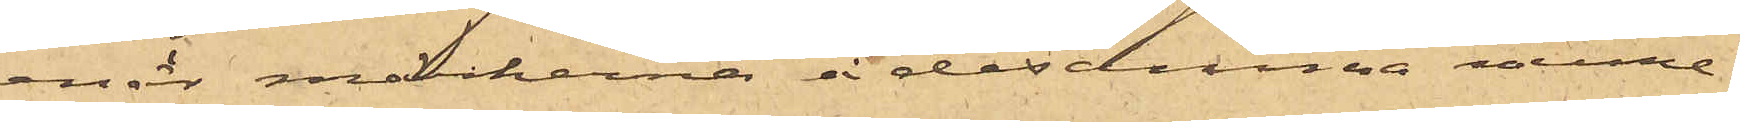enär märkerna å desamma nume¬
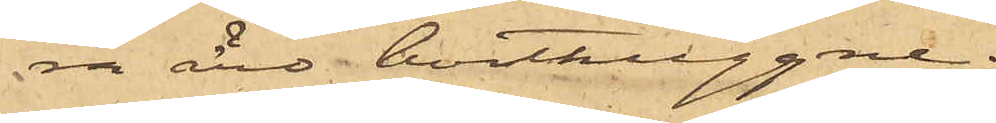ra äro borthuggna.
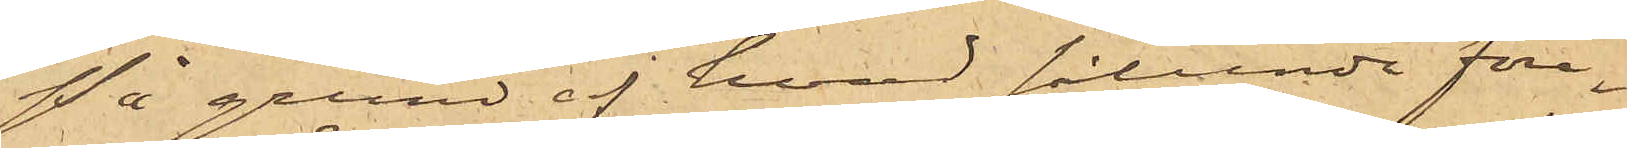På grund af hvad sålunda före¬
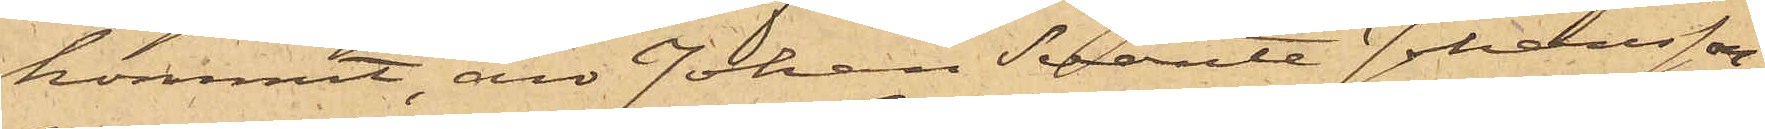kommit, äro Johan Svante Johansson,
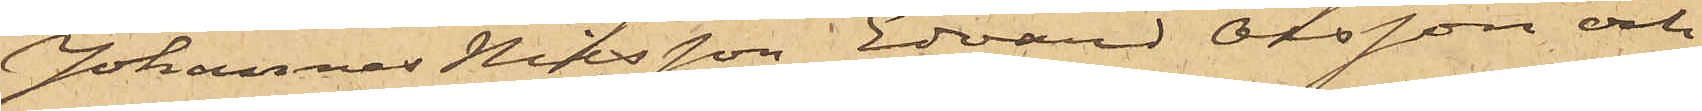Johannes Nilsson, Edvard Olsson och
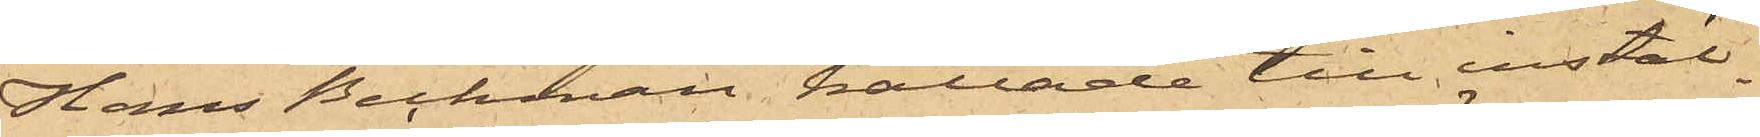Hans Beckman kallade till instäl¬
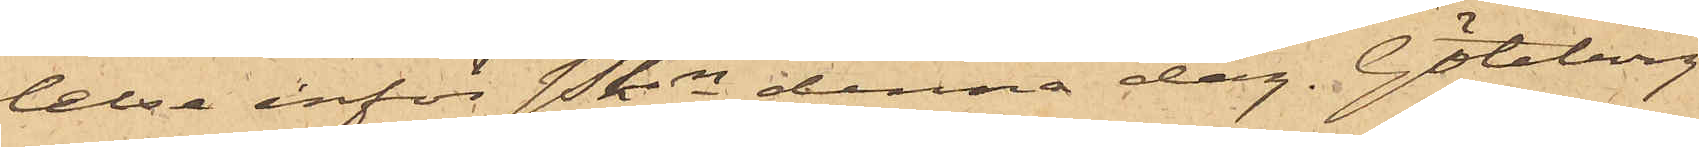lelse inför Pkn denna dag. Göteborg
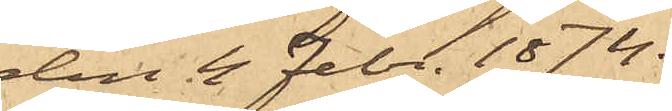den 4 Febr. 1874.
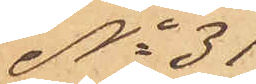No 31
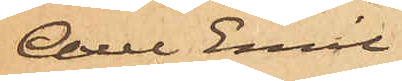Axel Emil
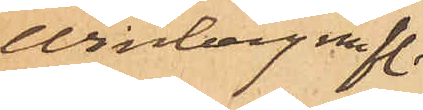Winberg m fl.
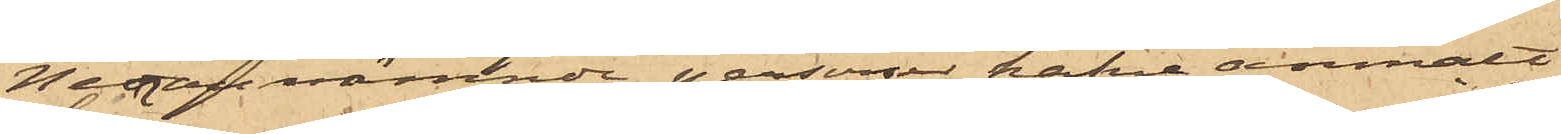Nedannämnde personer hafva anmält
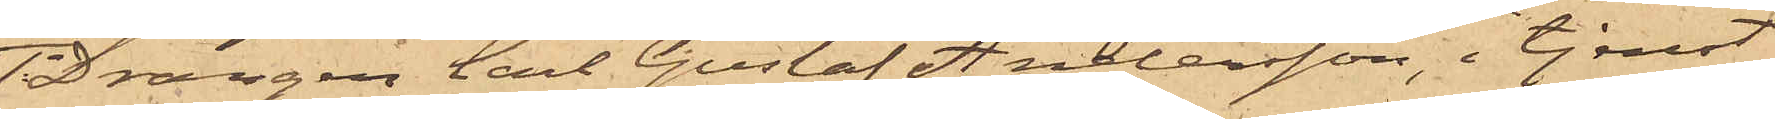Drängen Carl Gustaf Andersson, i tjenst
